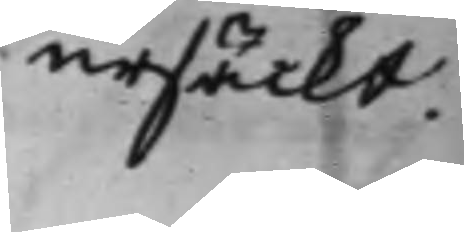ursäckt.
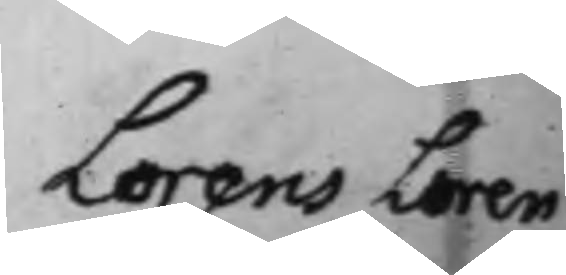Lorens Loren¬
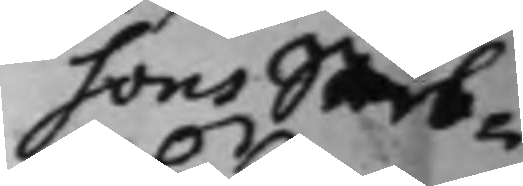sons Sterb¬
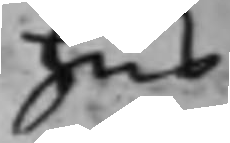hus
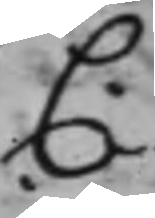C.
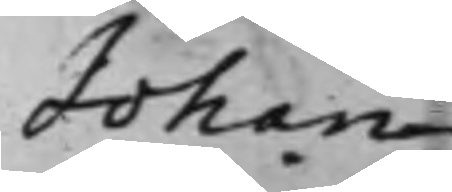Johan
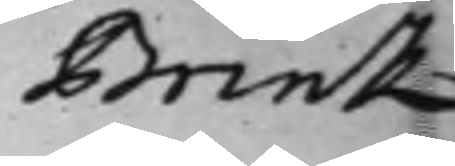Brink
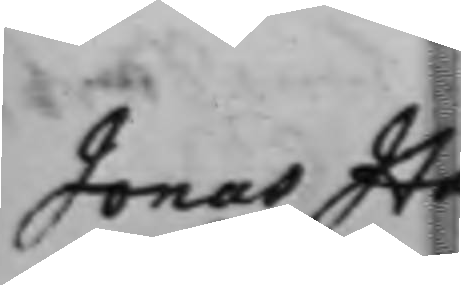Jonas Ha¬
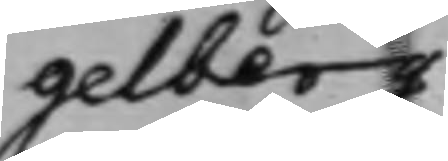gelberg
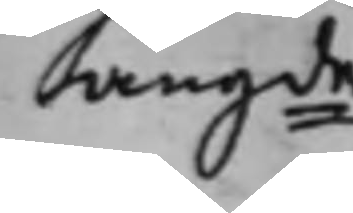angde
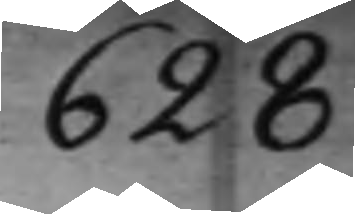628
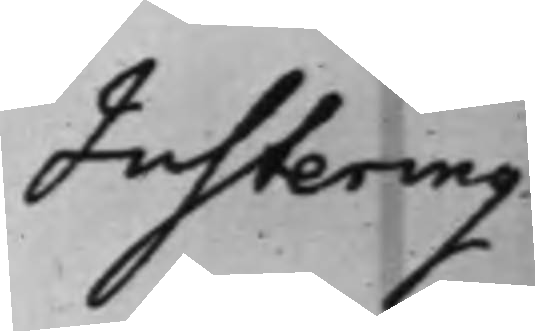Justering
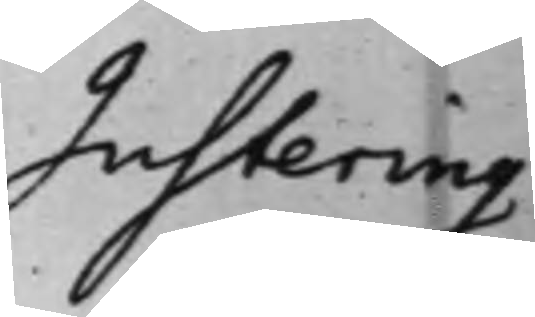Justering
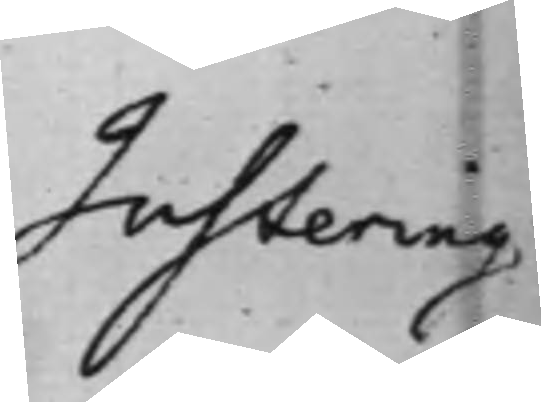Justering
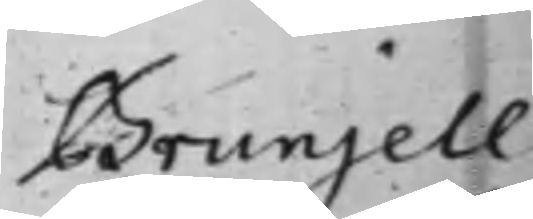Brunjell
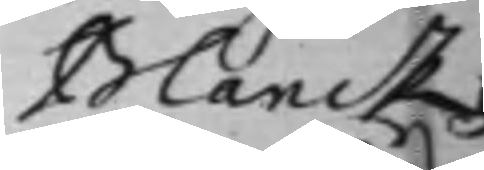Blancks
